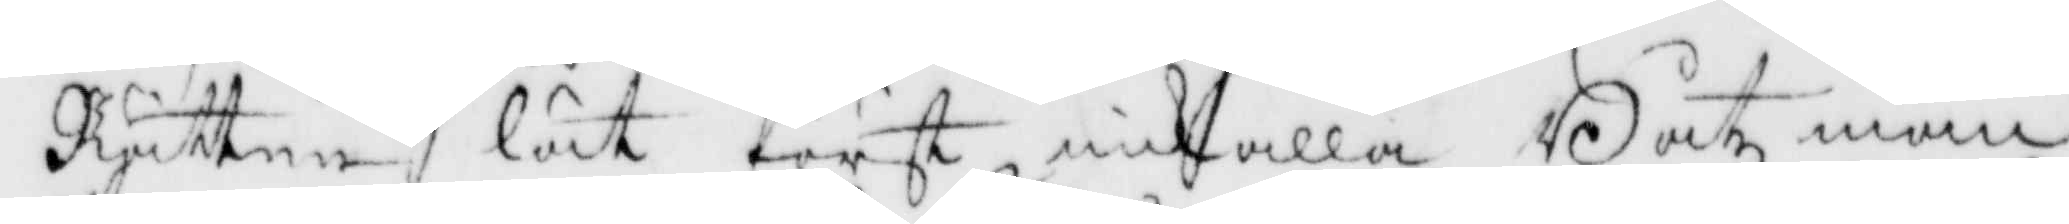Rätten lät först inkalla Båtsman
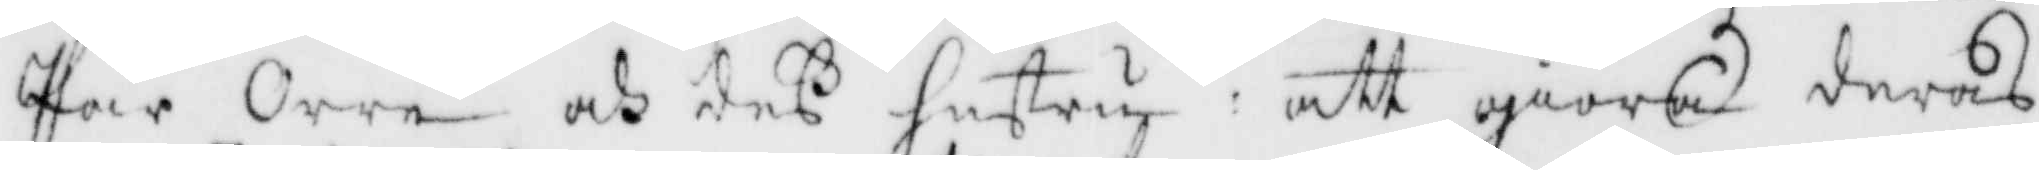Pär Orre och deß hustru: att giöra deras
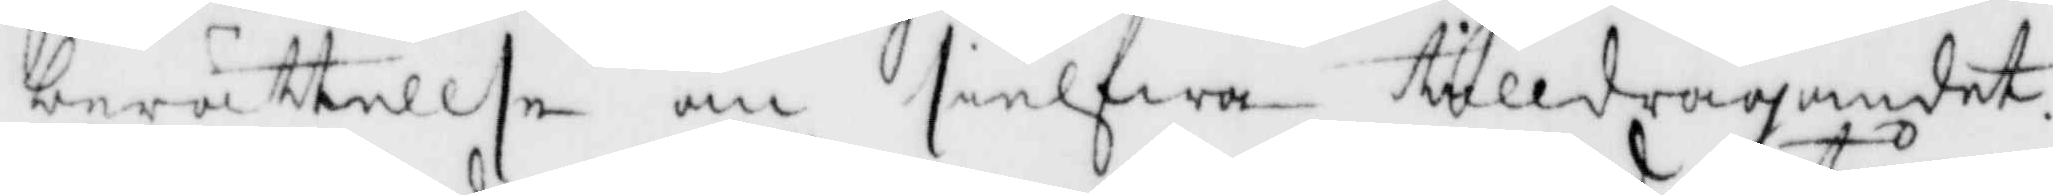berättelse om sielfwa tilldragandes,
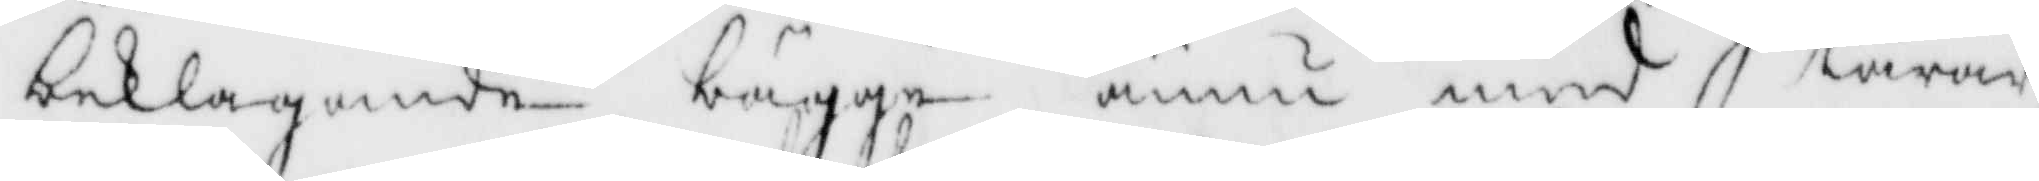beklagande bägge ännu med tårar
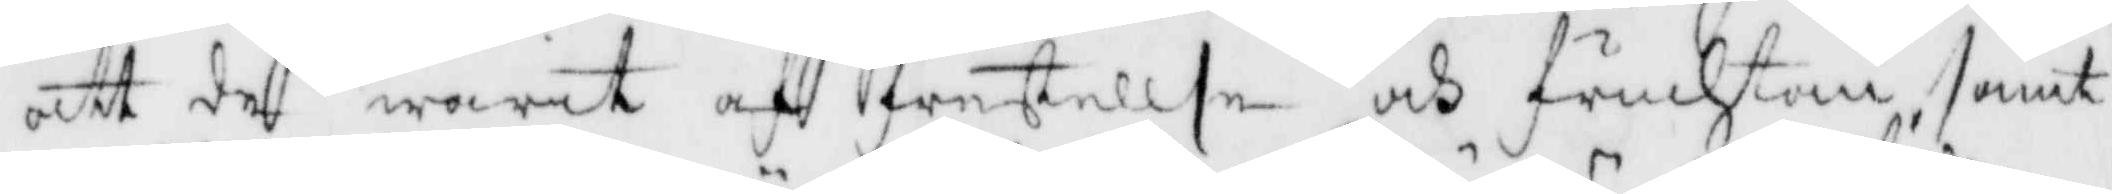att de warit af frestellse och fruchtan samt
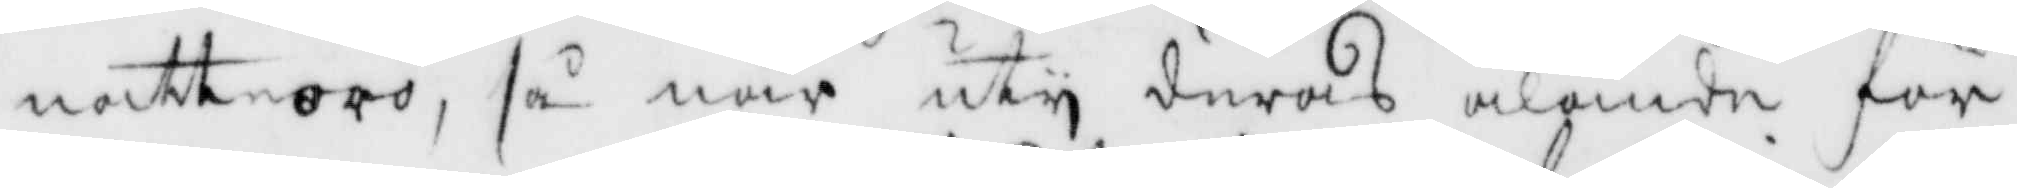natteoro, så när uty deras älände för
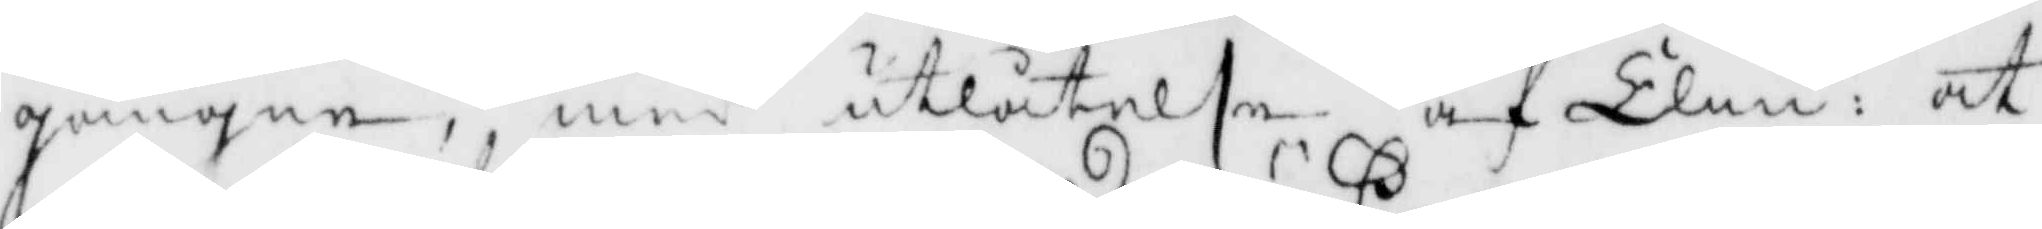gångne, med utlåtelse af Elin: att
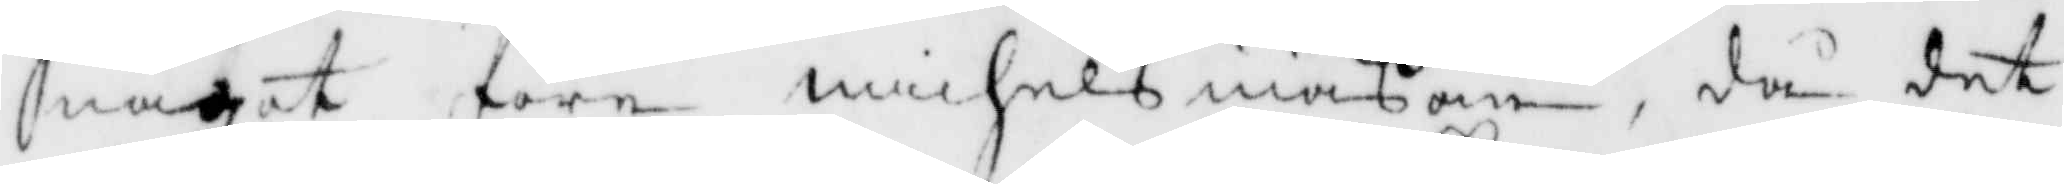något före michelsmaßan, då det
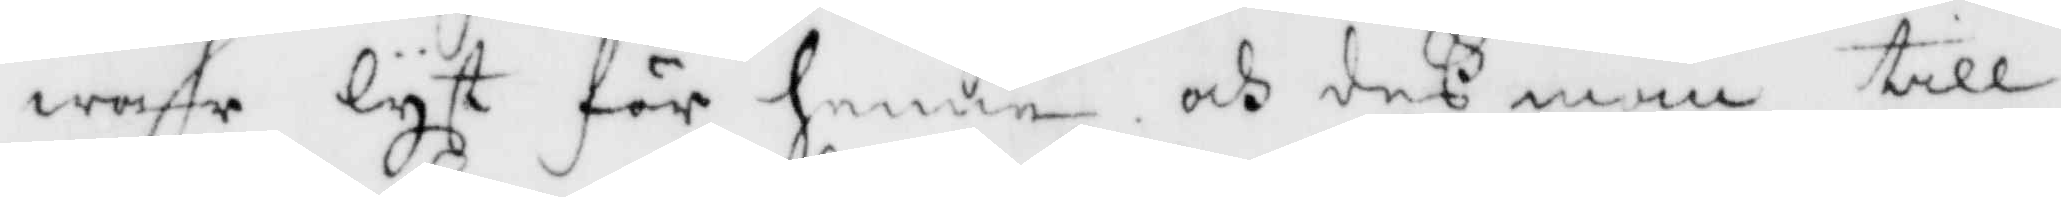war lyst för henne och deß man till
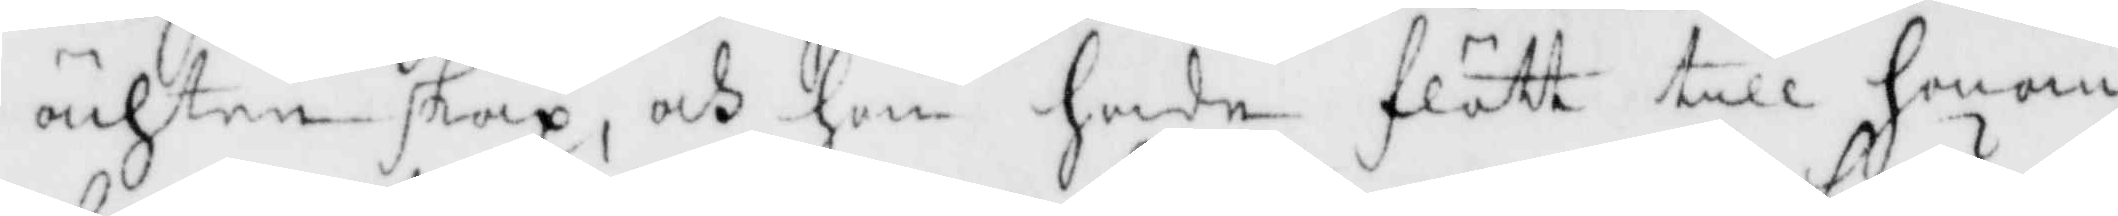achtenskap, och hon hade flött till honom.
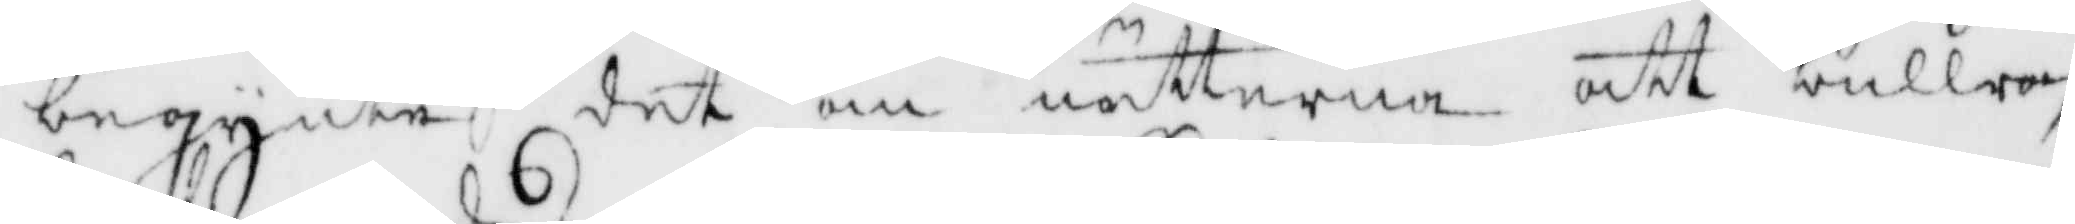begynte det om nätterna att bullra,
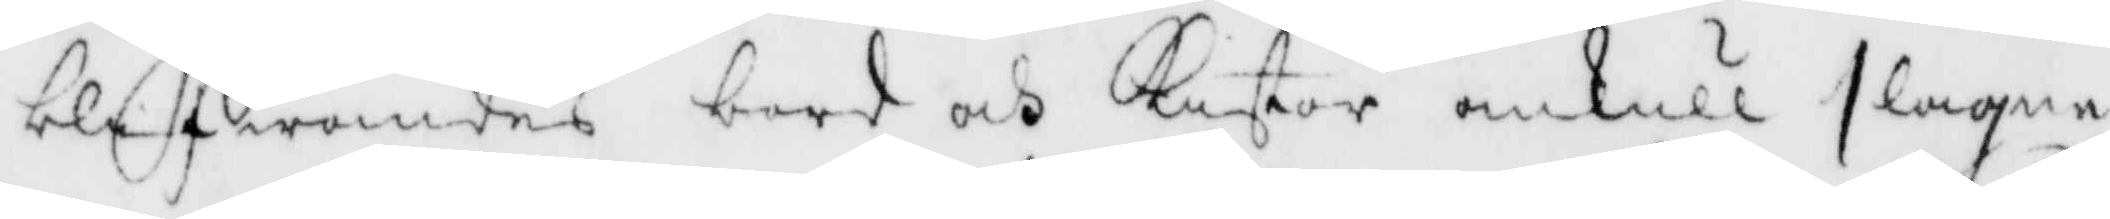blefwandes bord och kistor omkull slagne
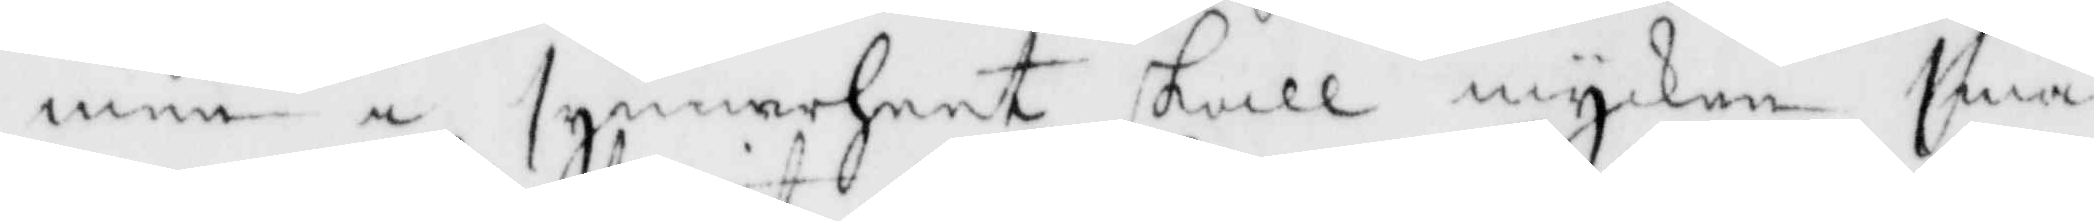men i synnerheet skall mycken små¬
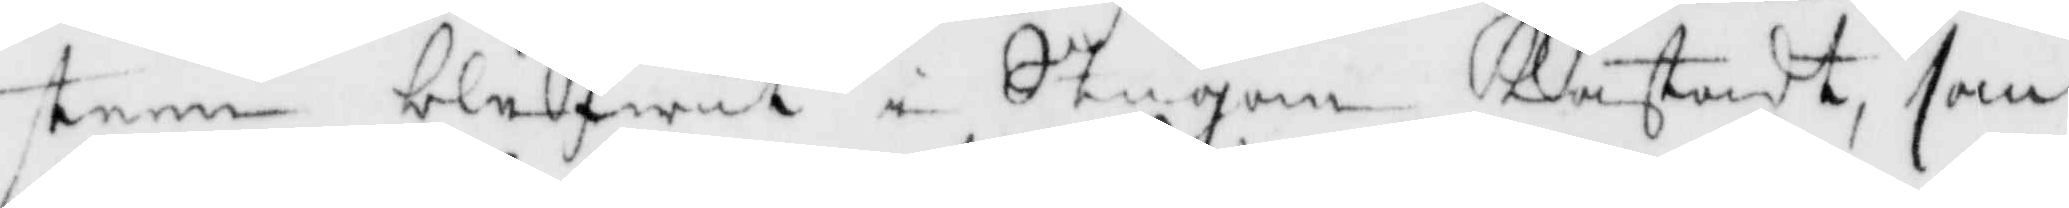steen blifwit i Stugan Kastadt, som
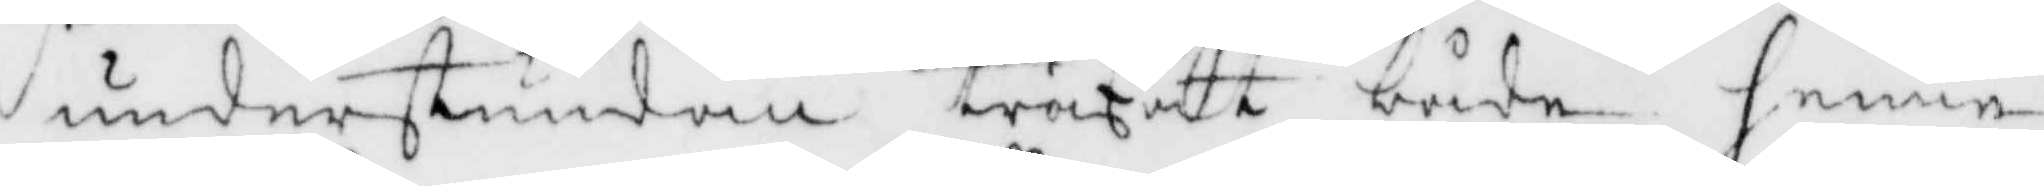understundom träffat både henne
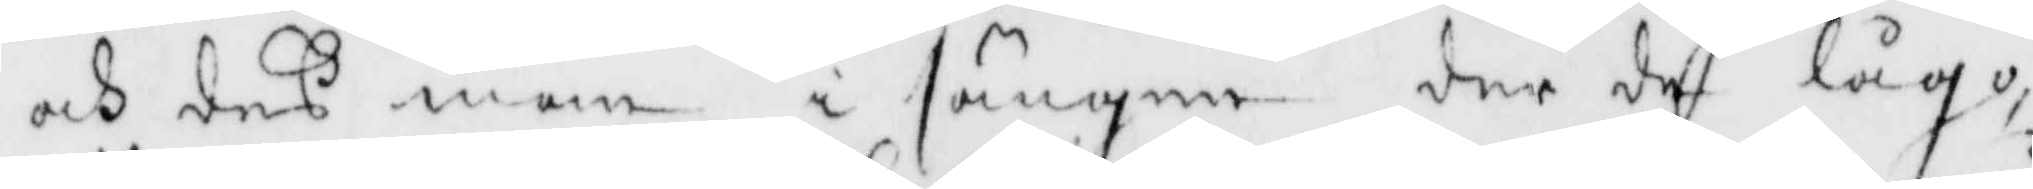och deß man i sängen der de lågo,
